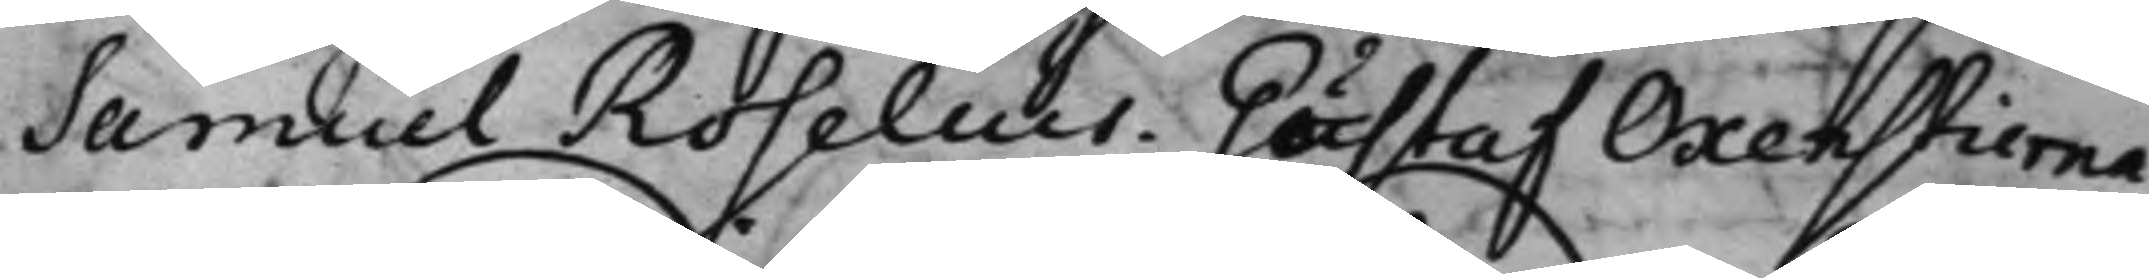Samuel Roselius. Gustaf Oxenstierna.
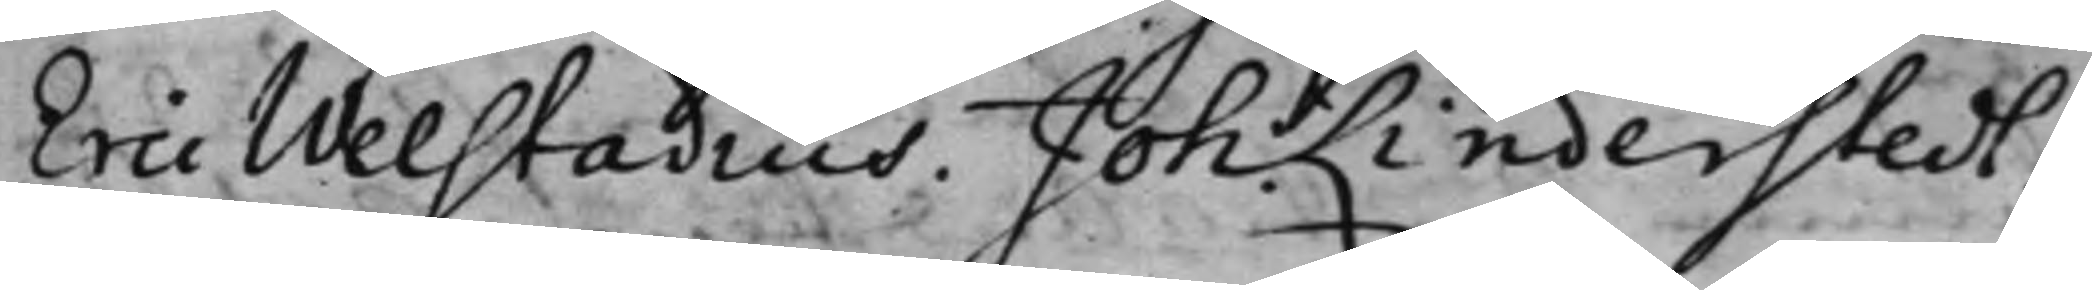Eric Welstadius. Joh: Linderstedt.
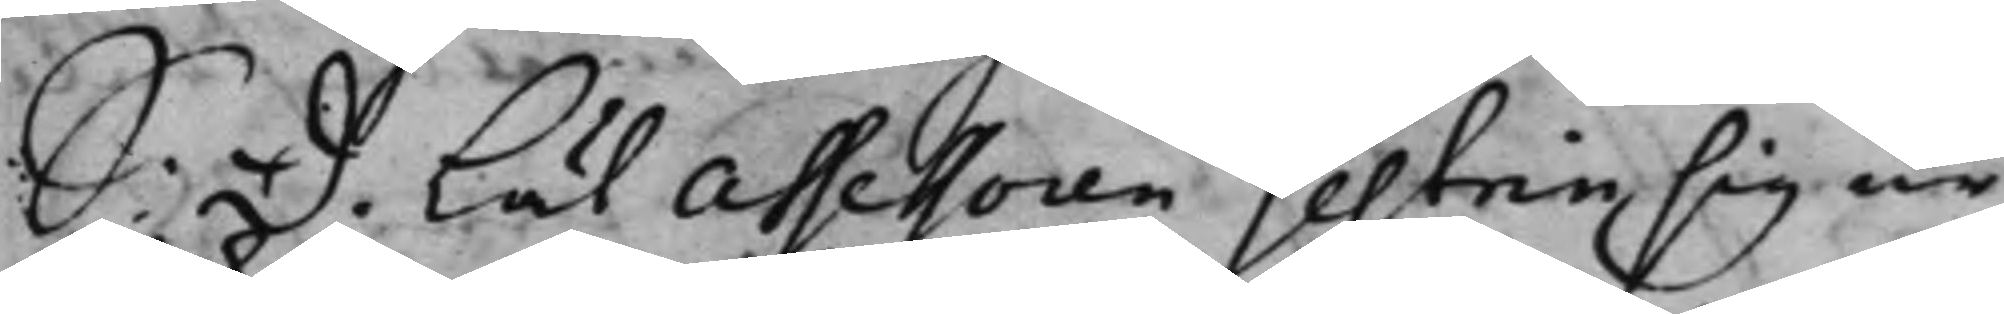S. D. Lät Assessoren Gestrin sig ur¬
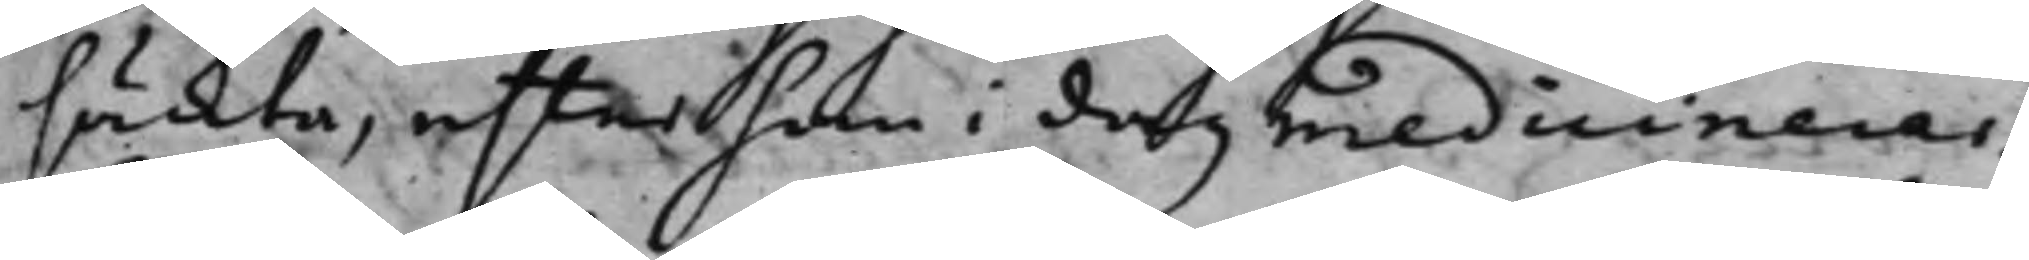säckta, efter han i dag medicinerar.
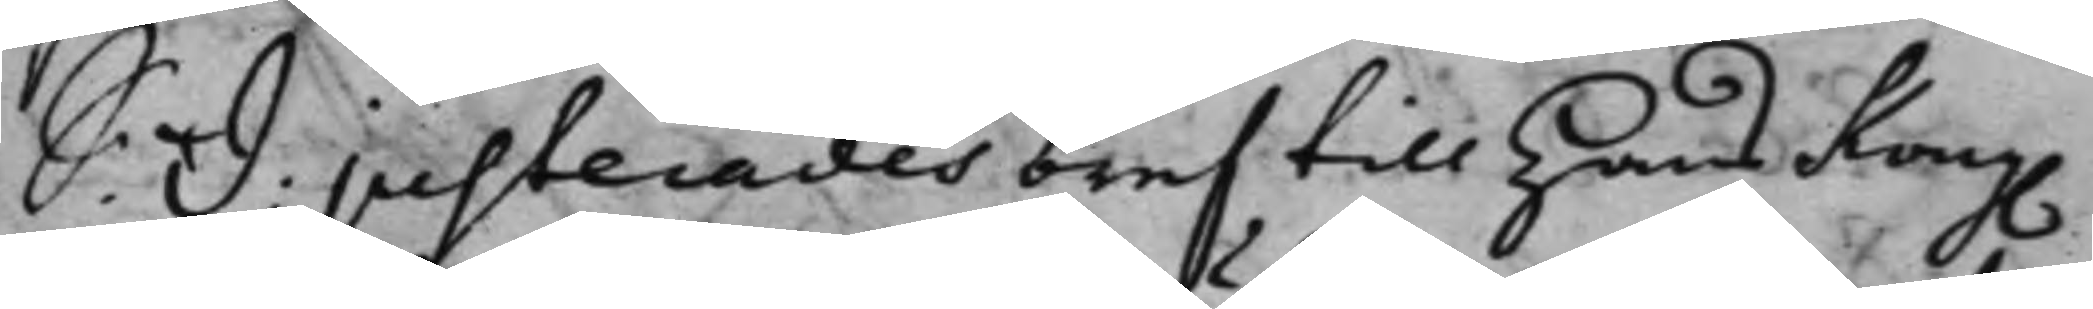S: D: Justerades bref till Hans Kong.
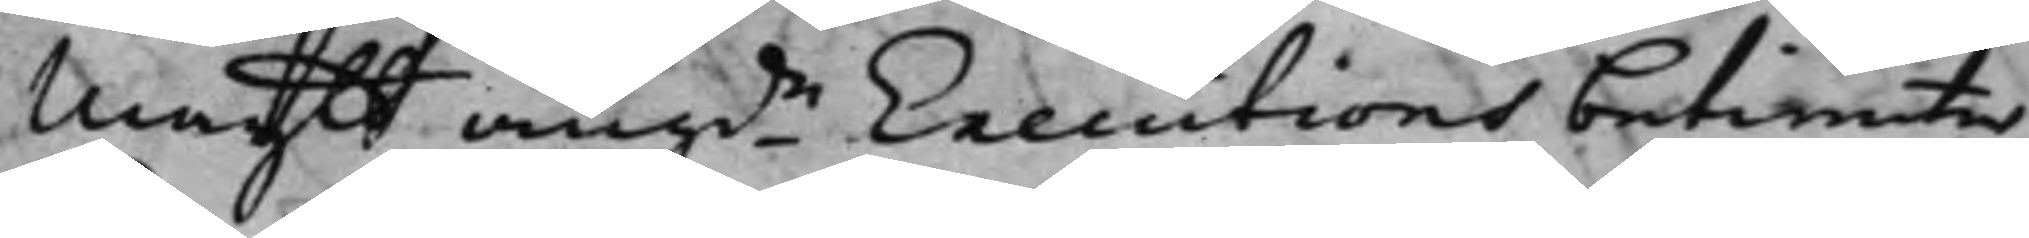Maytt angde Executions betiente¬
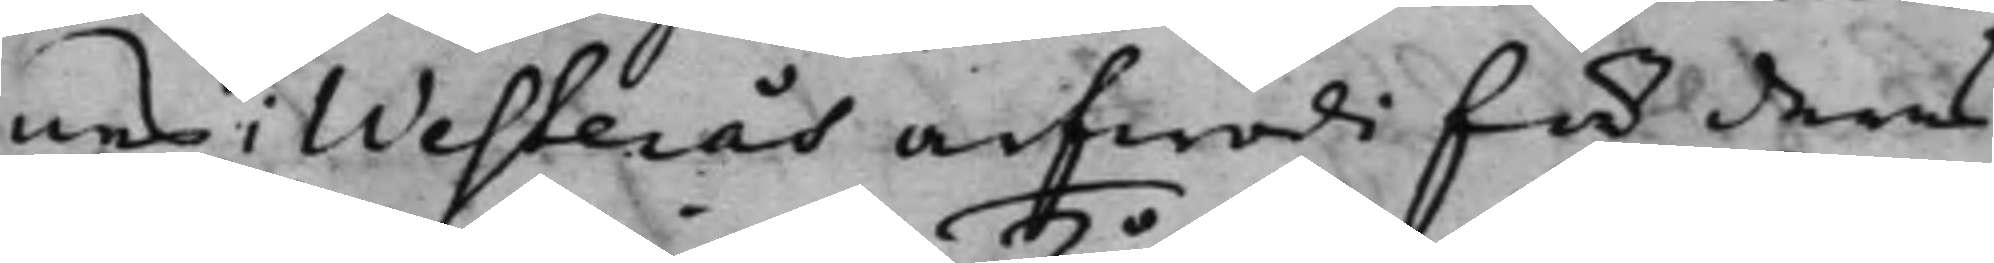nes i Westerås arfwode för deras
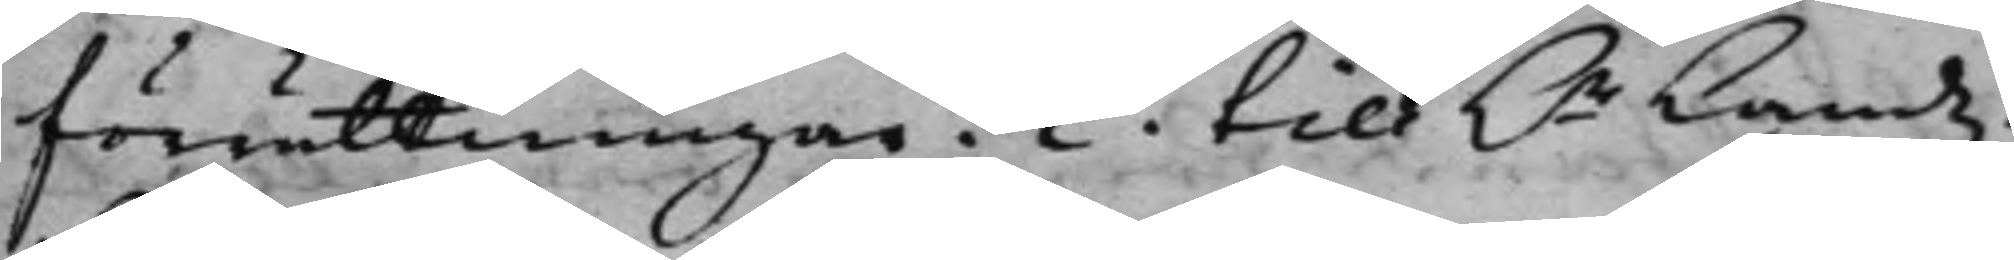förrättningar. 2o till H.r Landz¬
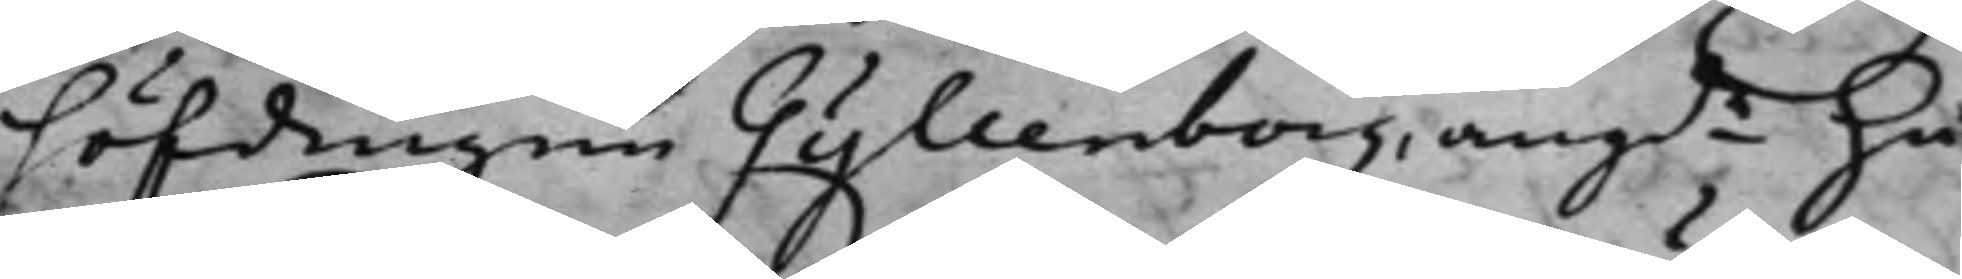höfdingen Gyllenborg, angde Hä¬
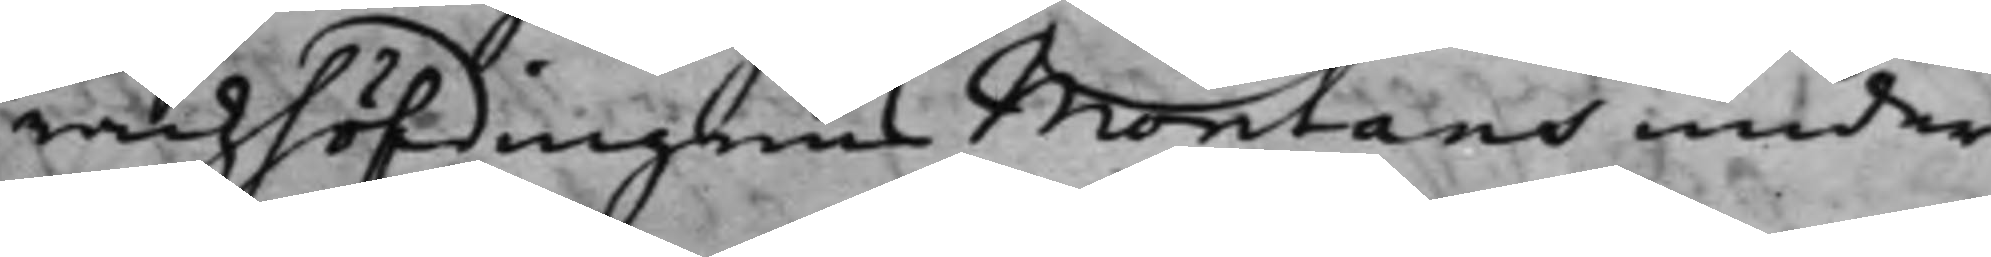radzhöfdingens Montans under¬
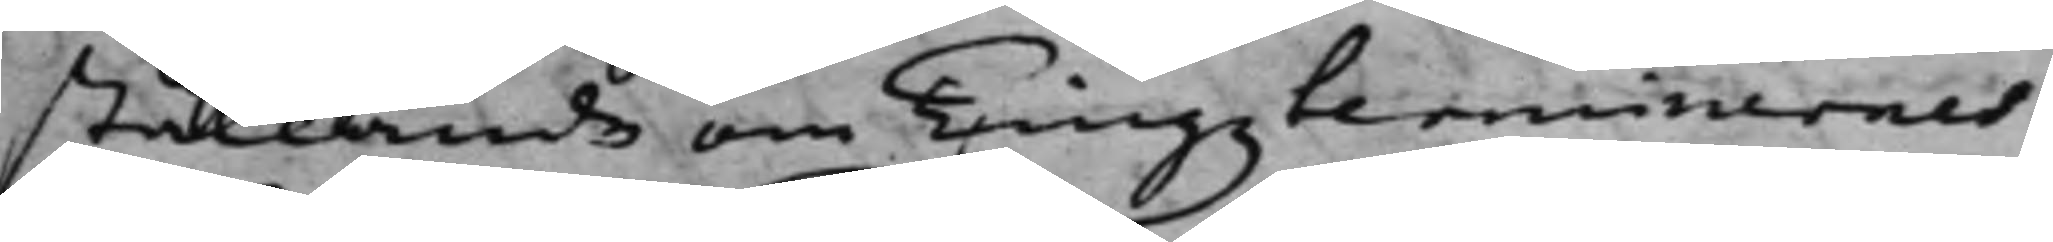ställande om Tingzterminernes
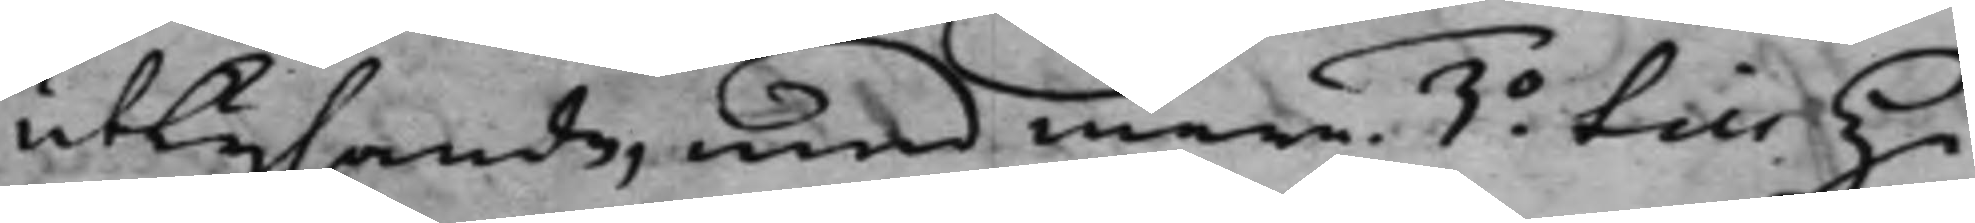utlysande, med mera. 3o till Hä¬
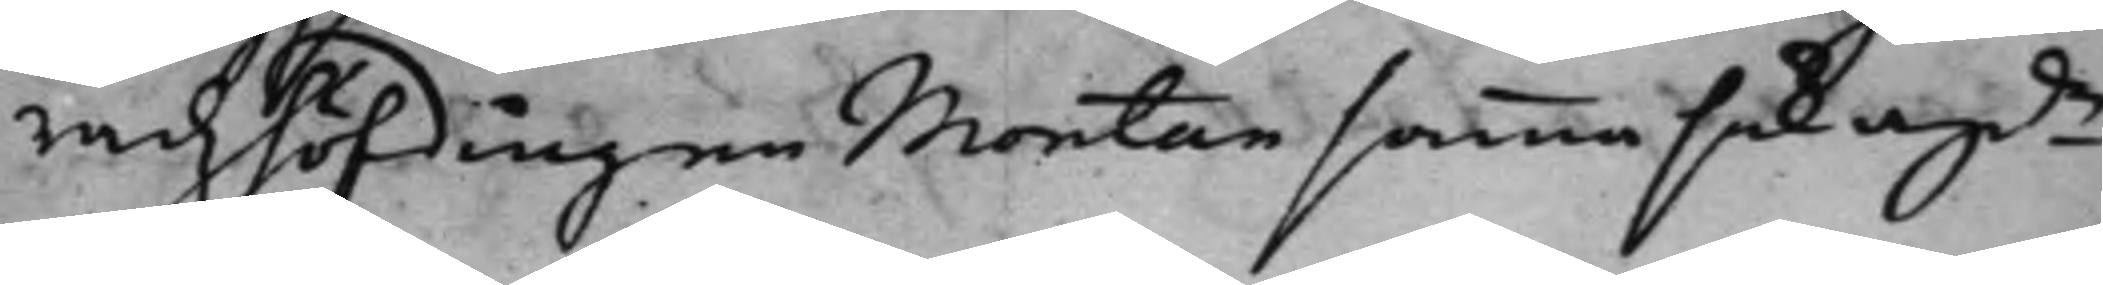radzhöfdingen Montan samma sak agde
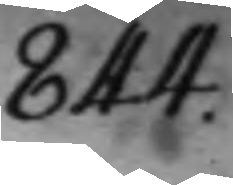844.
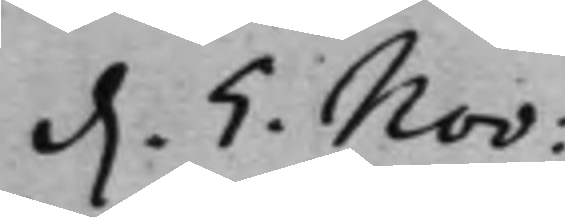d. 5. Nov:
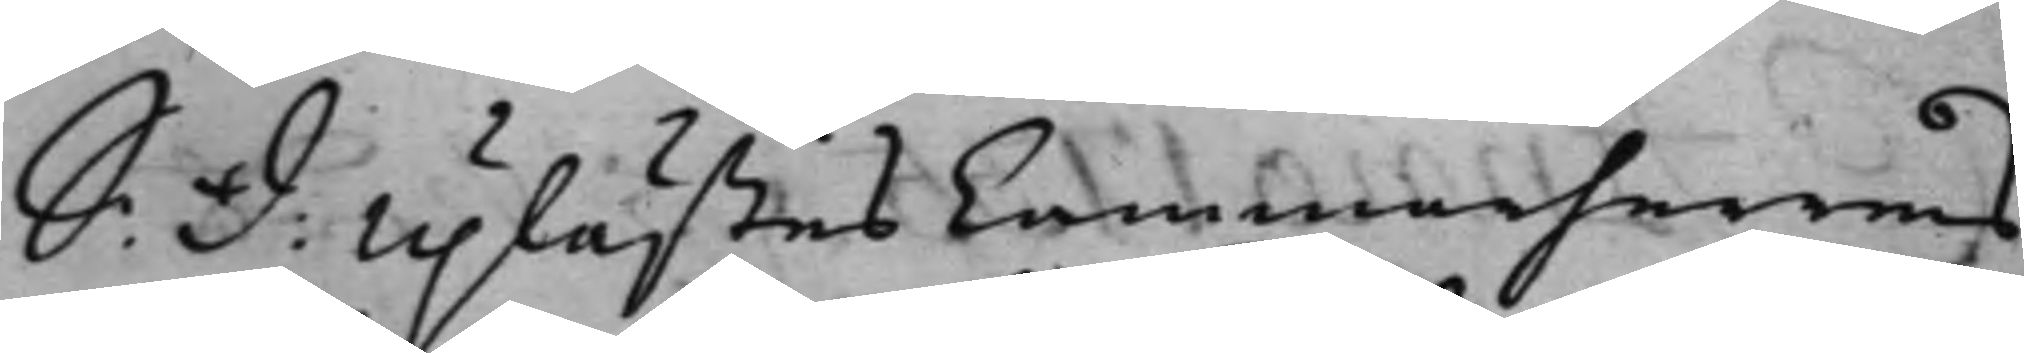S: d: Uplästes Cammarherrens
